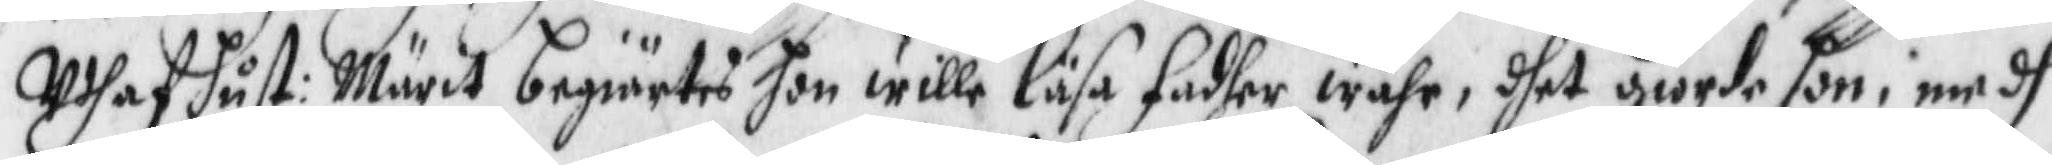Uthaf hust: Märit begiärtes hon wille läsa Fadher wåhr, dhet giorde hon, medh
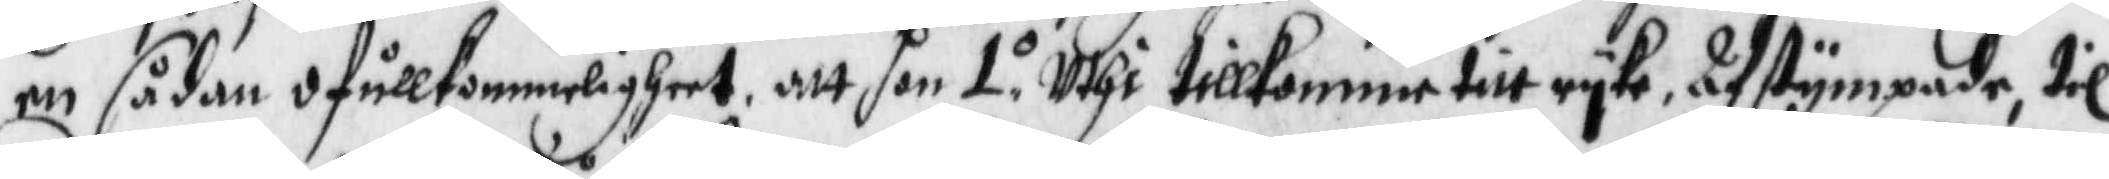en sådan ofullkommerligheer, att hon 1.o uthi tillkommer titt ryke, Afstympade, til
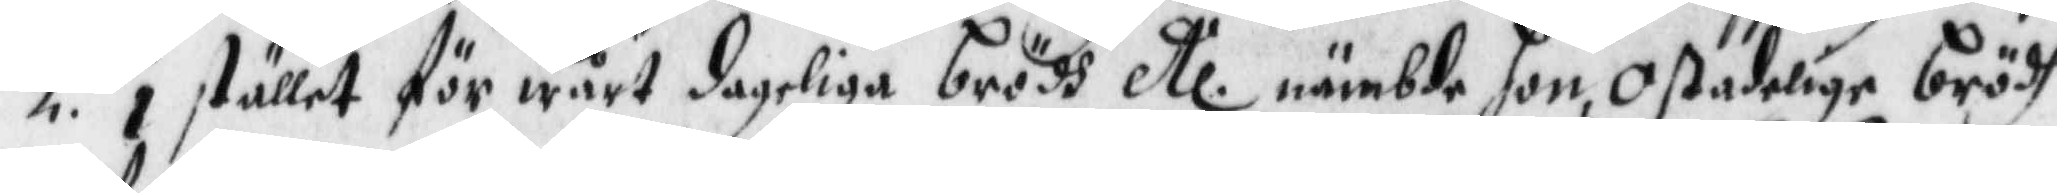2.do i stället för wårt dageliga brödh etc nämbde hon, Oßadelige brädh
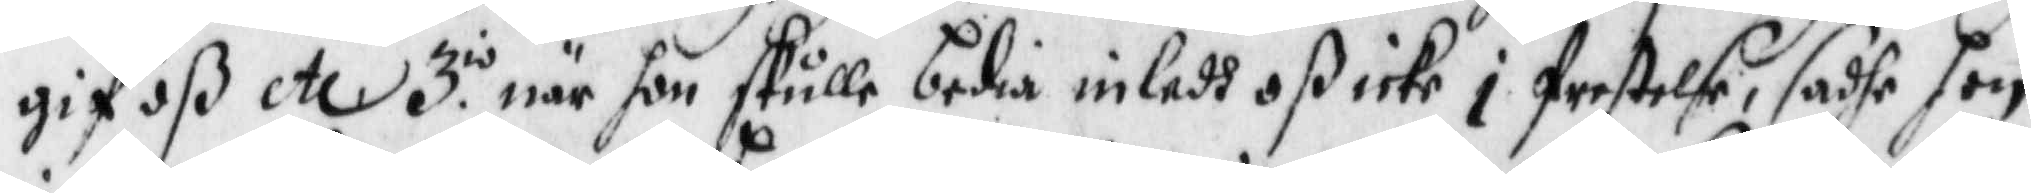gif oß etc 3.io när hon skulle bedia inledh oß icke i frestelse, sadhe hon
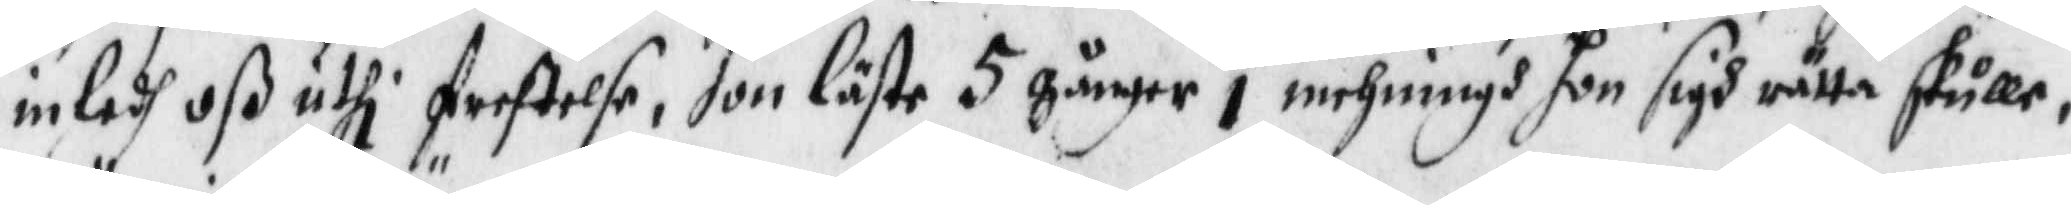inledh oß uthi frestelse, hon läste 5 gånger i mehningh hon sigh rätta skulle
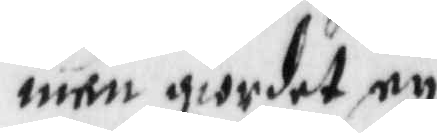män giordet ey.
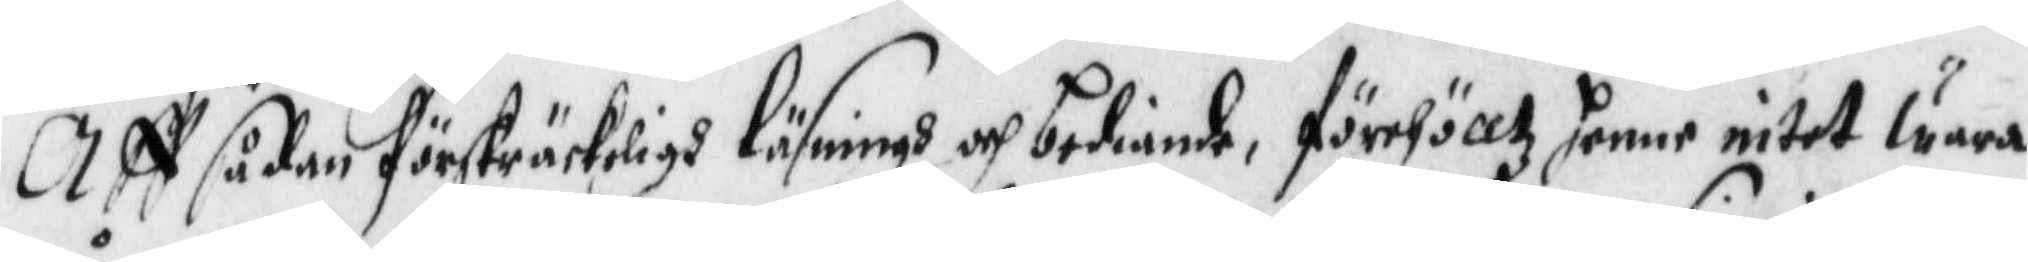Aff sådan förskräckeligh läsningh och bediande, förehölltz henne intet wara
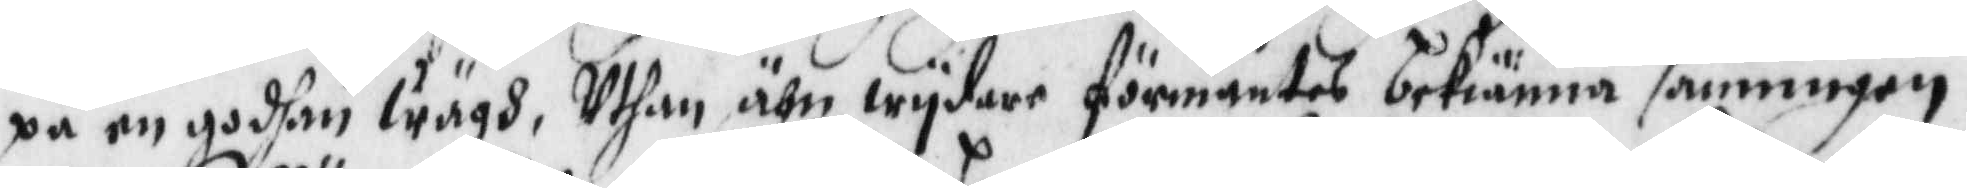på en godhan wägh, Uthan ähn wydare förmantes bekiänna sanningen,
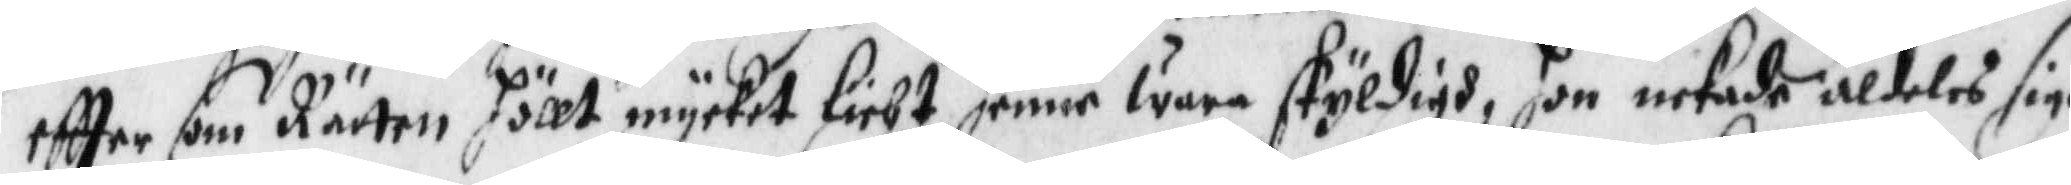eftter som Rätten höllt mycket lieht henne wara skyldigh, hon nekade aldeles sigh
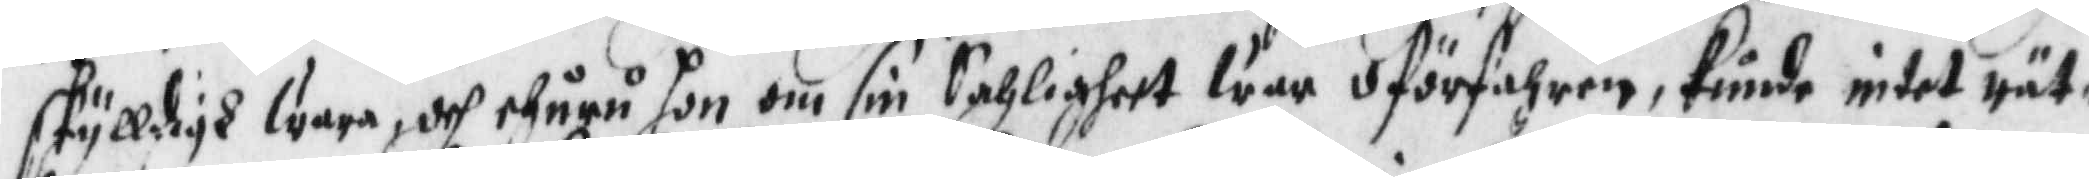skylldigh wara, och ehuru hon om sin Saligheer war oförfahren, kunde intet rät¬
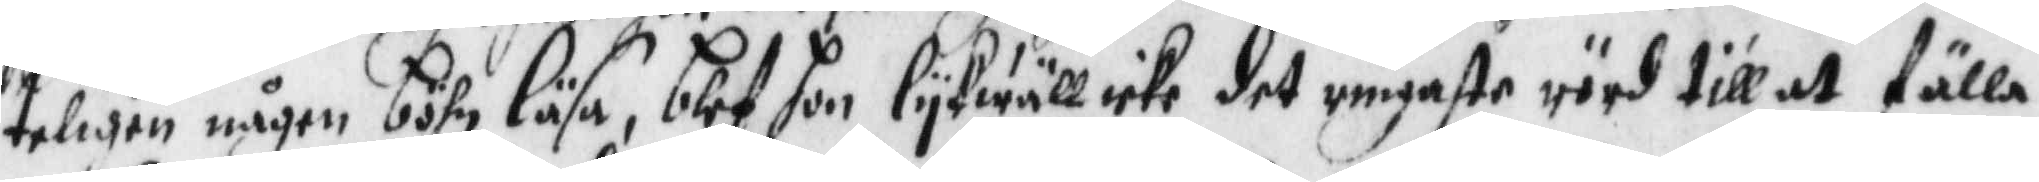teligen någen böhn läsa, blef hon lykwäll icke det ringaste rörd till at fälla
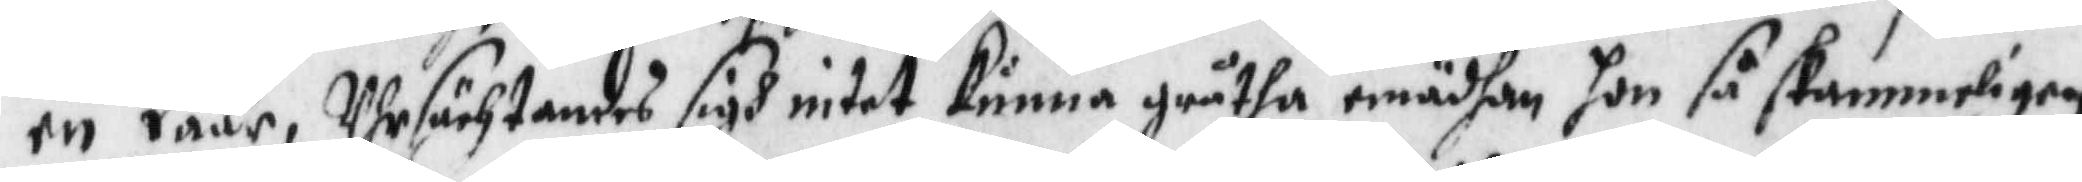en Tåår, Uhrsächtandes sigh intet kunna gråtha emädhan hon så skammeligen
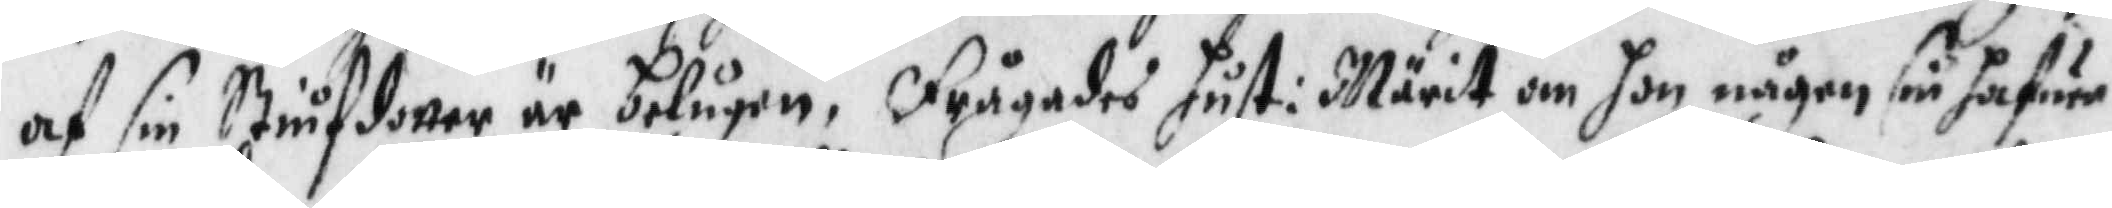af sin Stiufdotter är belugen. Frågades hust: Märit om hon någon sin hafwer
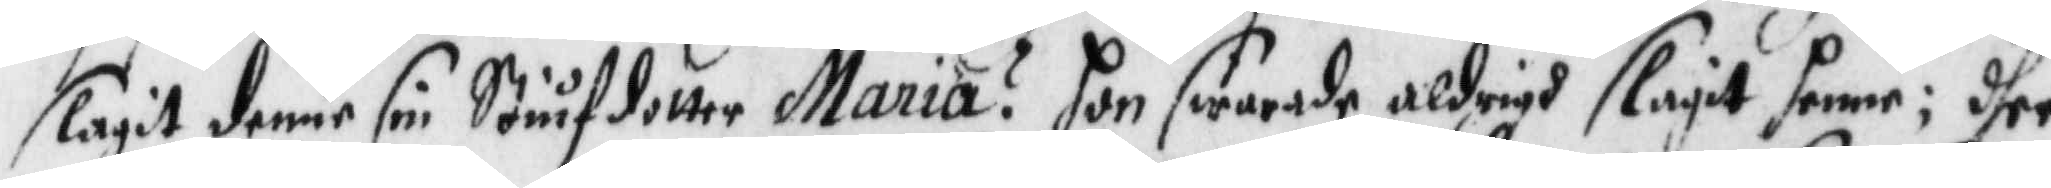slagit denne sin Stiufdotter Maria? hon swarade aldrigh slagit henne; dher
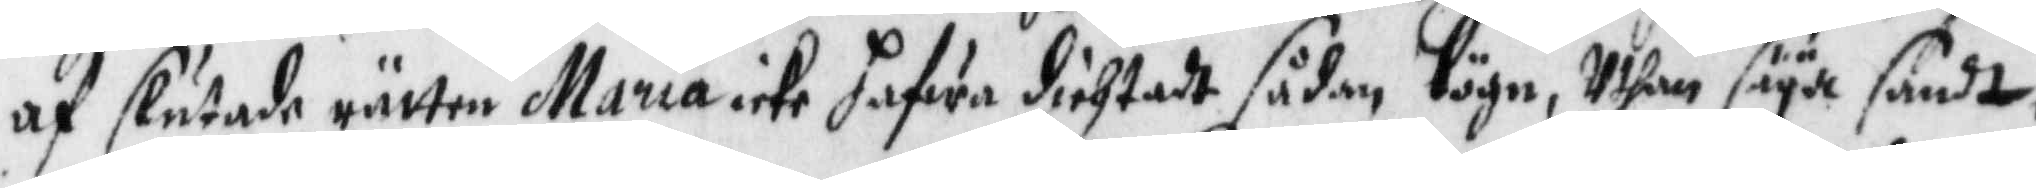af slutade rätten Maria icke hafwa dichtadt sådan lögn, Uthan säya sandt
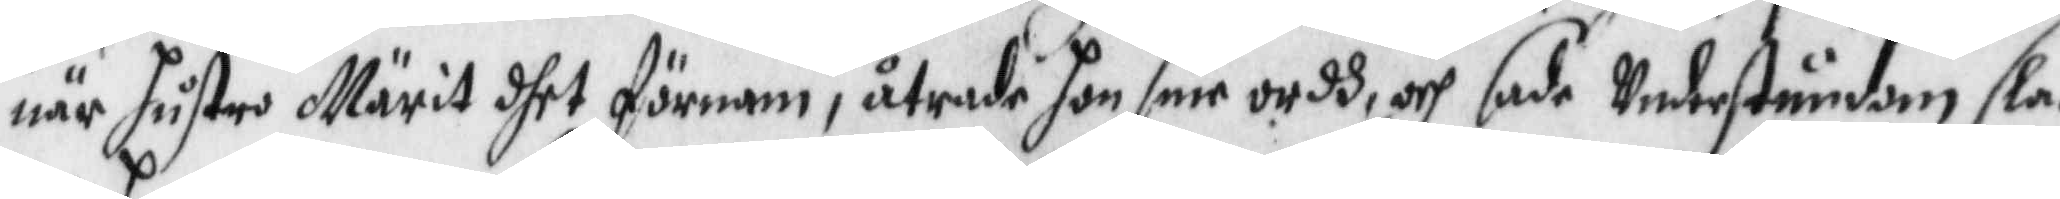när hustru Märit dhet förnam, åtrade hon sine ordh, och sade Understundom sla¬
